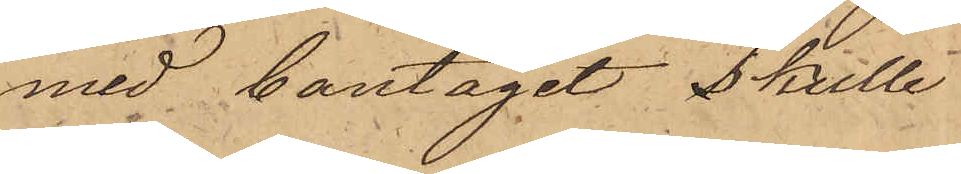med bantåget skulle
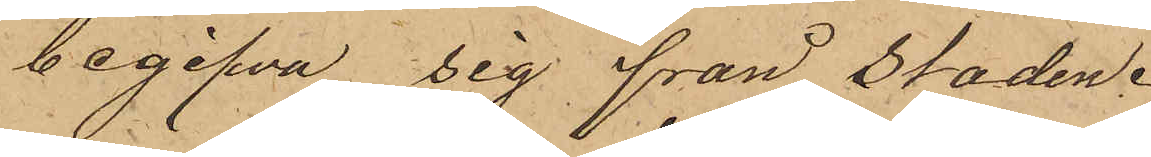begifva sig från Staden.
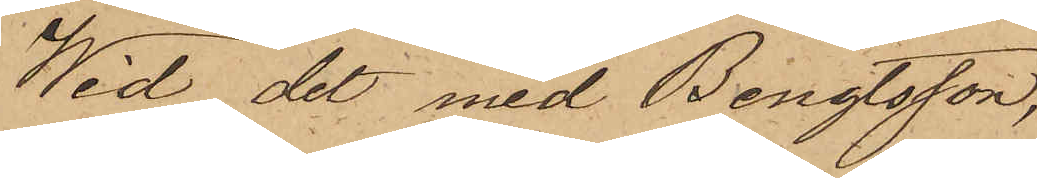Wid det med Bengtsson,
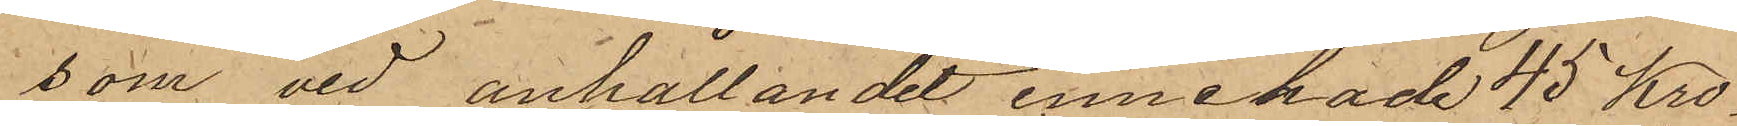som vid anhållandet innehade 45 Kro¬
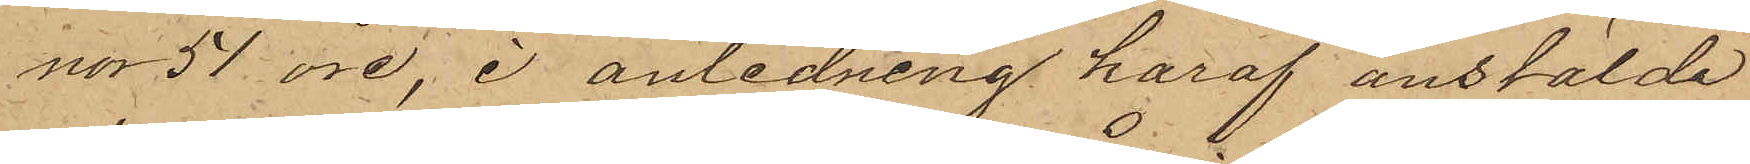nor 51 öre, i anledning häraf anstälde
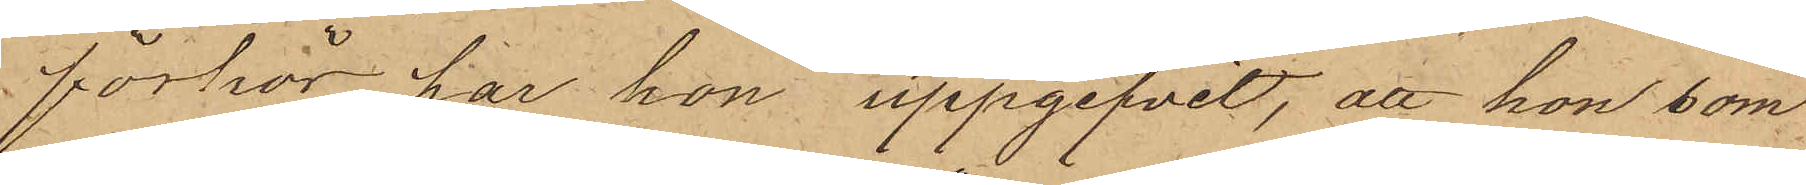förhör har hon uppgifvit, att hon som
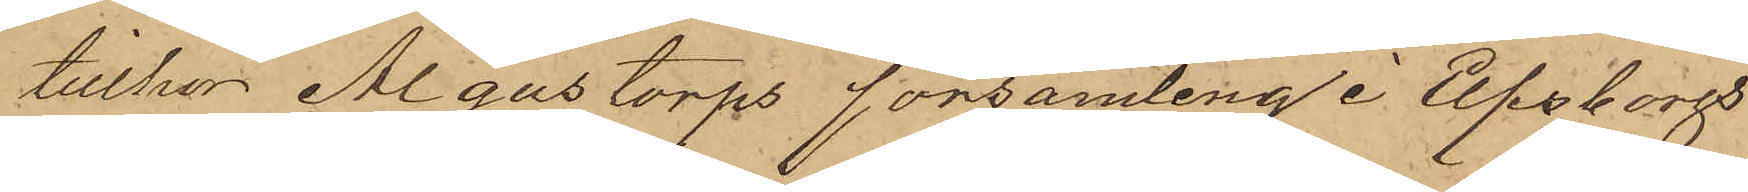tillhör Algustorps församling i Elfsborg
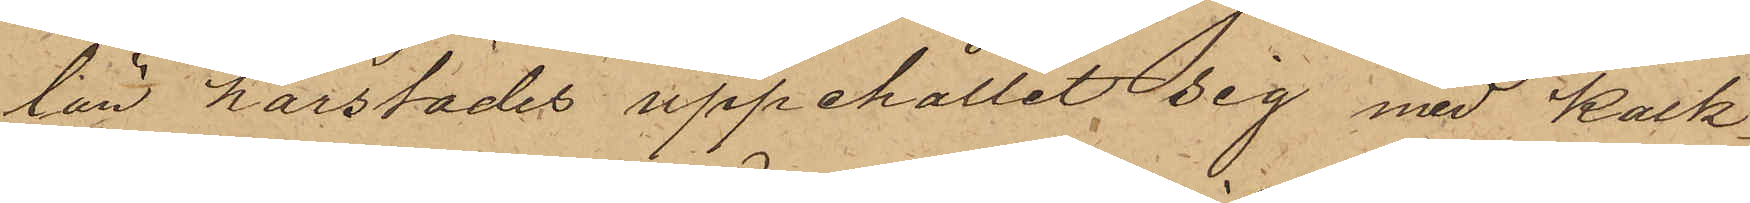län härstädes uppehållit sig med Kalk¬
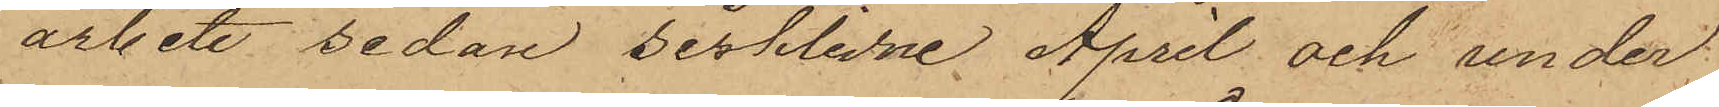arbete sedan sistlidne April och under
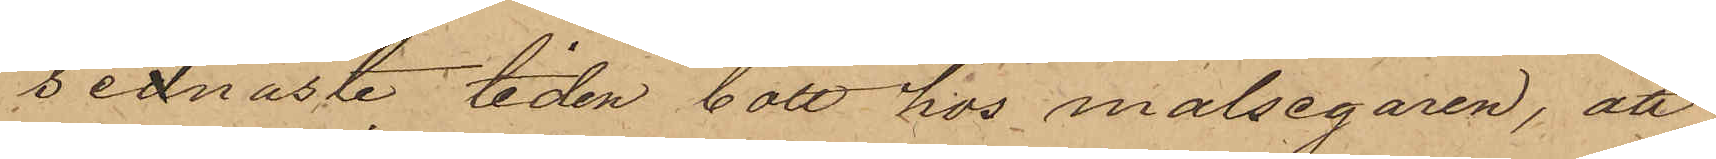sednaste tiden bott hos målsegaren, att
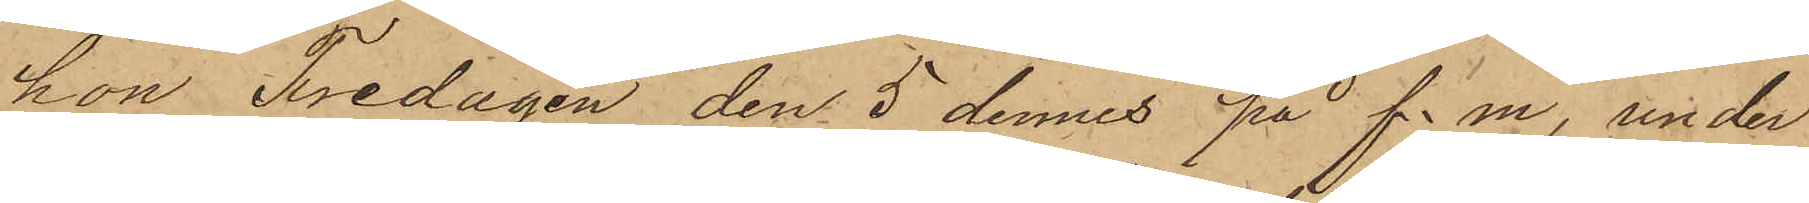hon Fredagen den 5 dennes på f. m., under
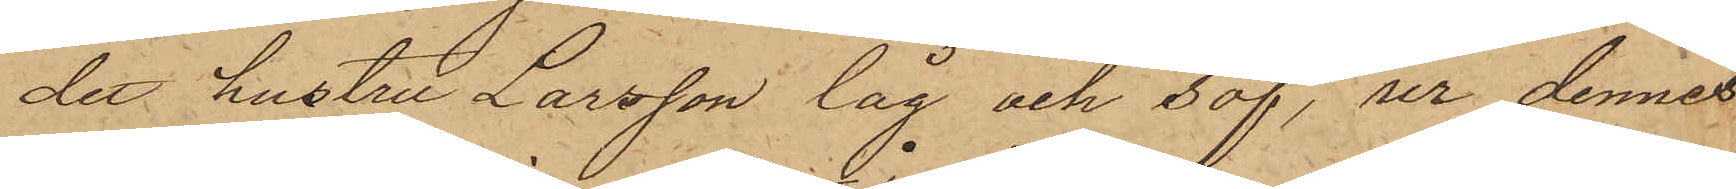det hustru Larsson låg och sof, ur dennes
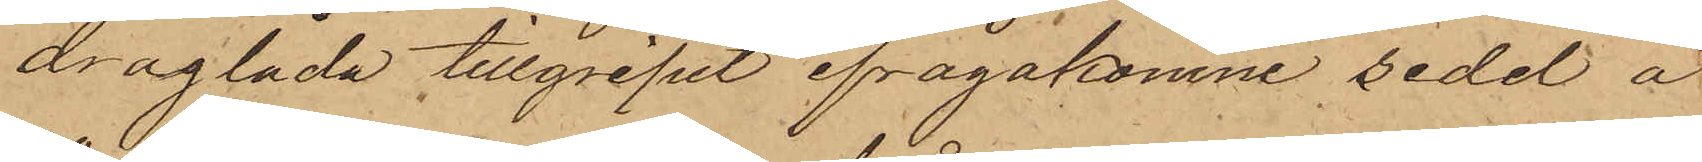draglåda tillgripit ifrågakomne sedel à
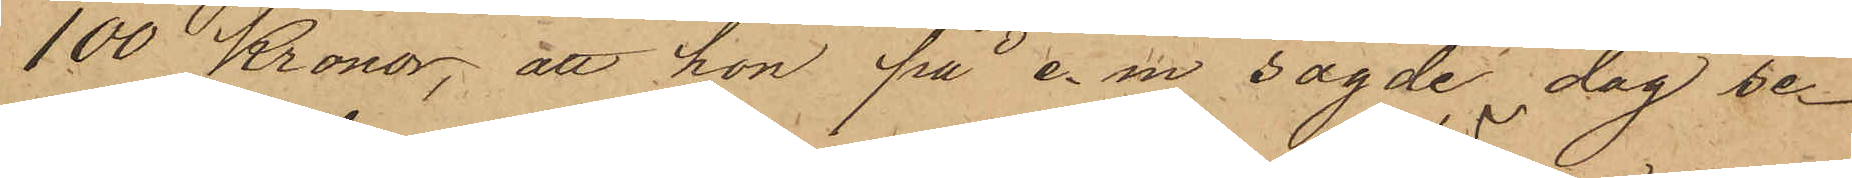100 Kronor; att hon på e. m. sagde dag se¬
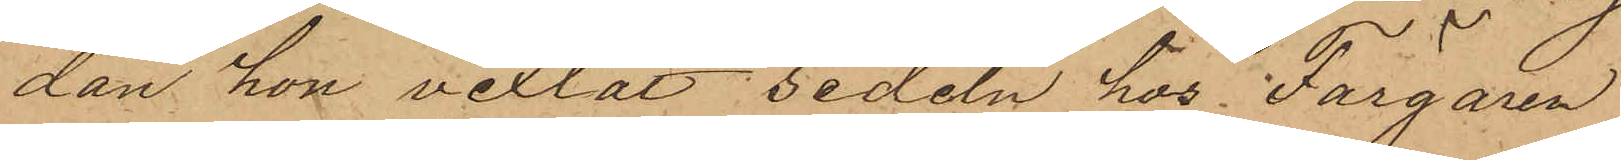dan hon vexlat sedeln hos Färgaren
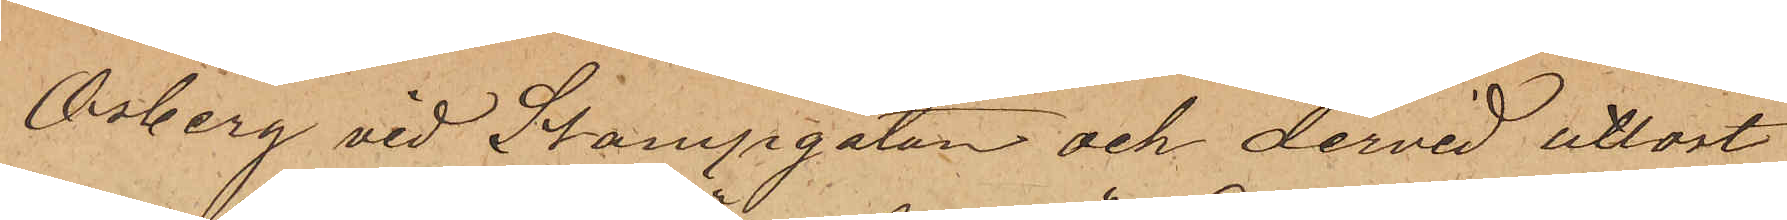Osberg vid Stampgatan och dervid utlöst
